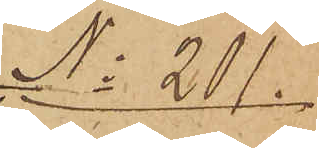No 201.
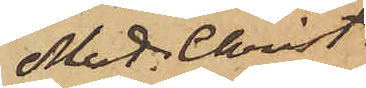Mat. Christ.
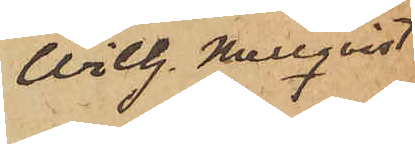Wilh. Mellqvist
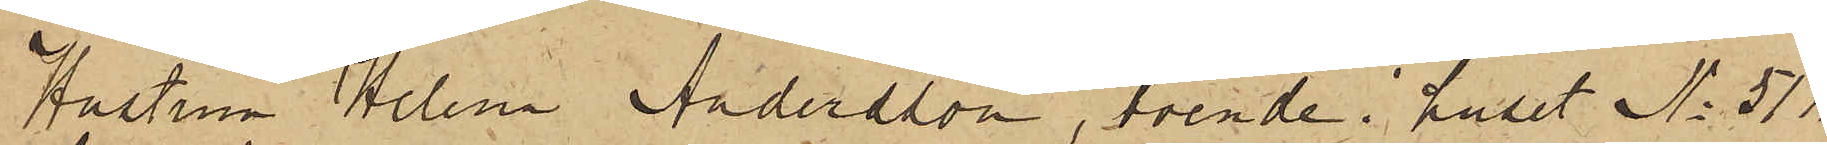Hustrun Helena Andersson, boende i huset No 51  1/2.
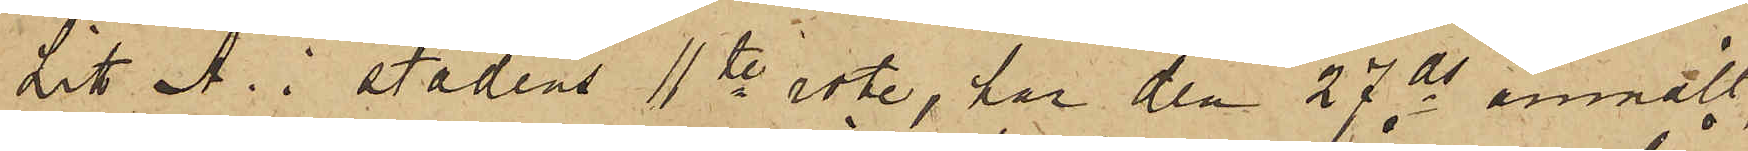Litt A. i stadens 11te rote, har den 27 ds anmält,
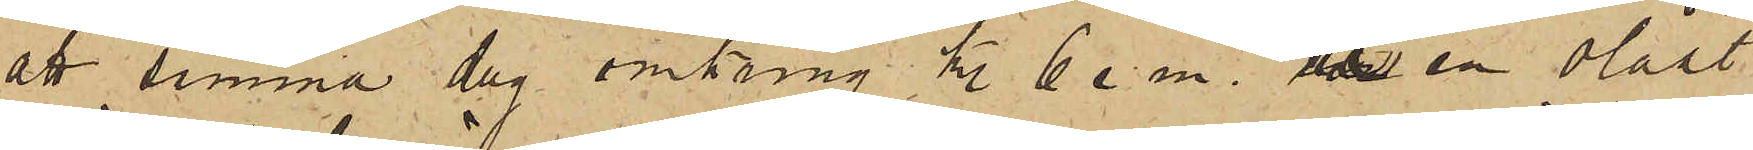att samma dag omkring kl. 6 e. m. å en olåst
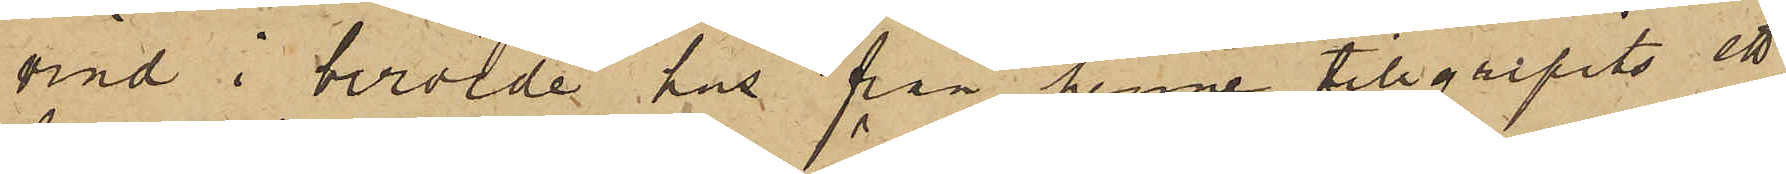vind i berörde hus från henne tillgripits ett
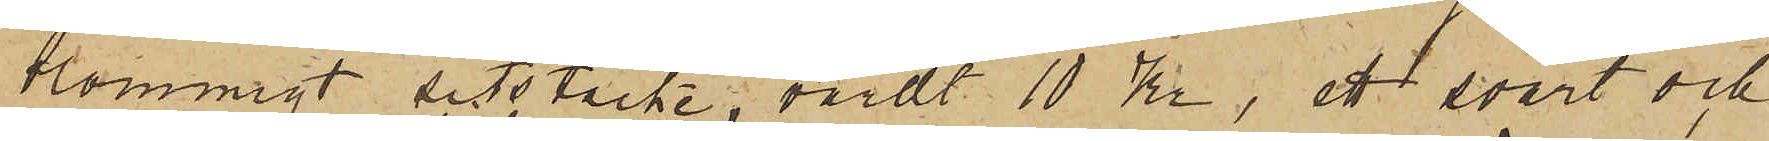blommigt sitstäcke, värdt 10 Kr, ett svart och
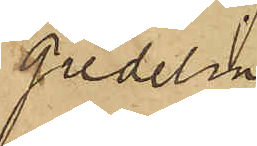gredelin
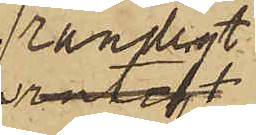randigt
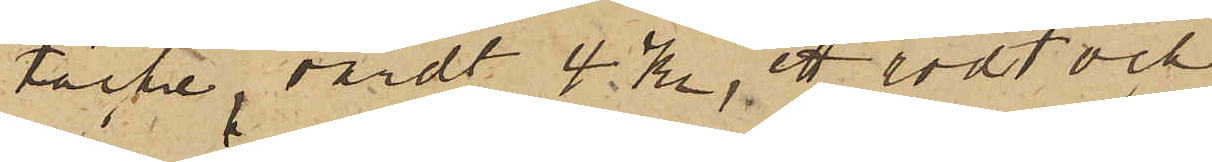täcke, värdt 4 Kr, ett rödt och
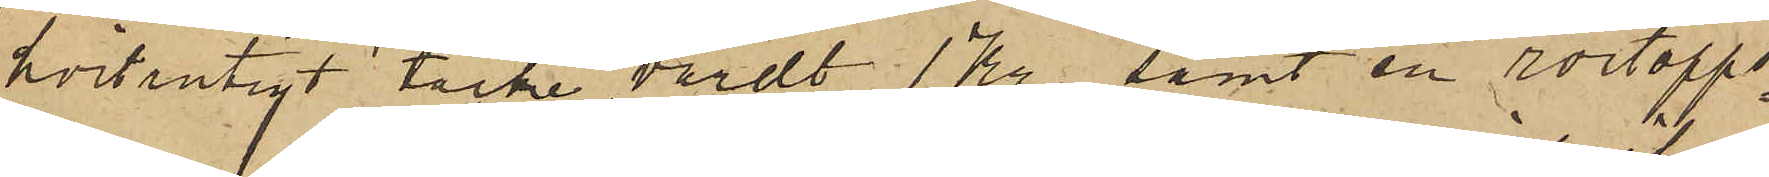hvitrutigt täcke, värdt 1 Kr, samt en rörtopps¬
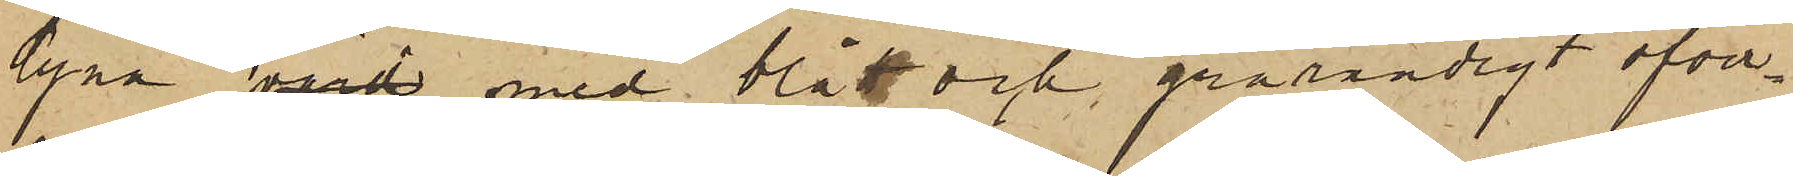dyna värd med blått och grårandigt öfver¬
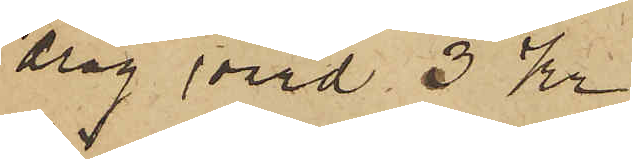drag värd 3 Kr
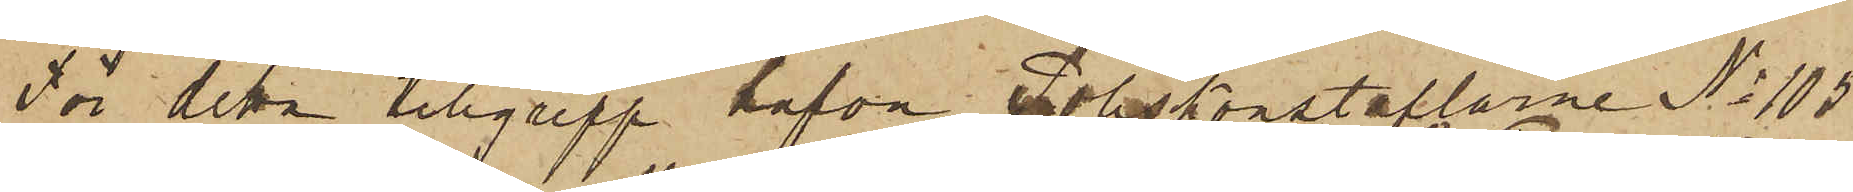För detta tillgrepp hafva Poliskonstaplarne No 105
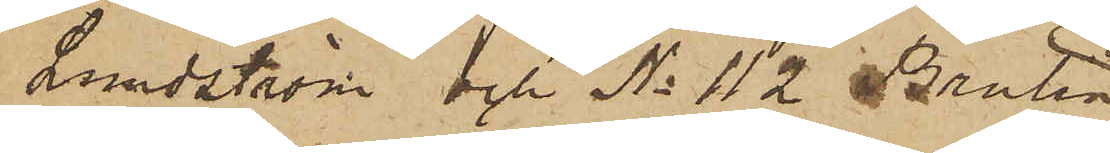Lundström och No 112 Brolin
